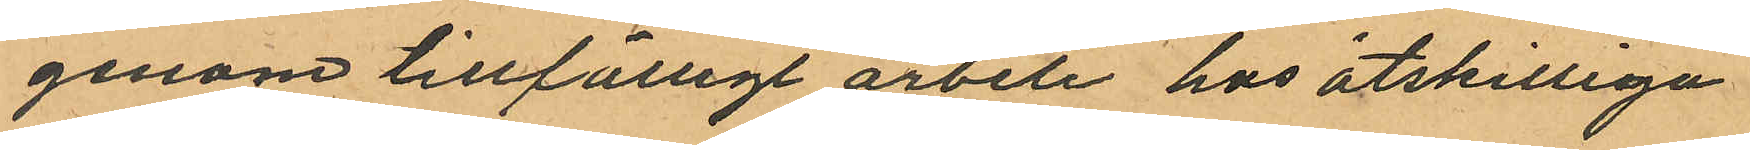genom tillfälligt arbete hos åtskilliga
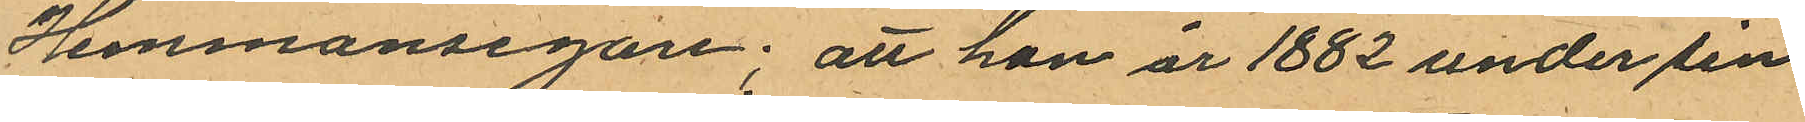Hemmansegare; att han år 1882 under sin
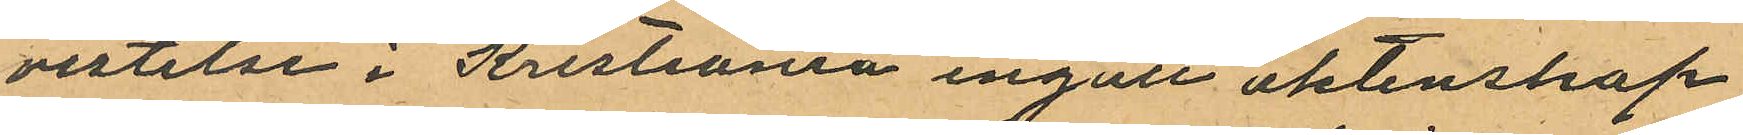vistelse i Kristiania ingått äktenskap
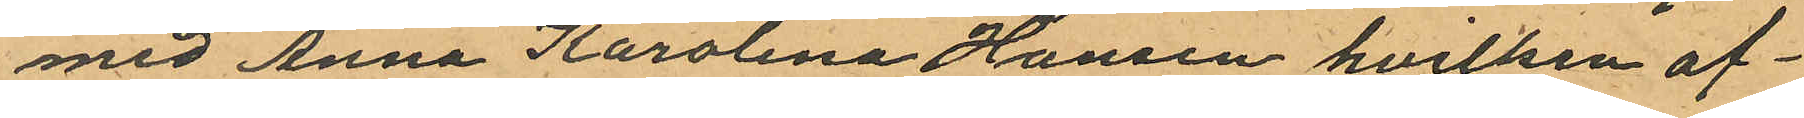med Anna Karolina Hansen hvilken af¬
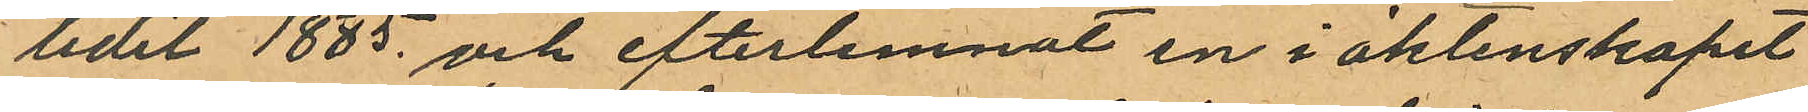lidit 1885 och efterlemnat en i äktenskapet
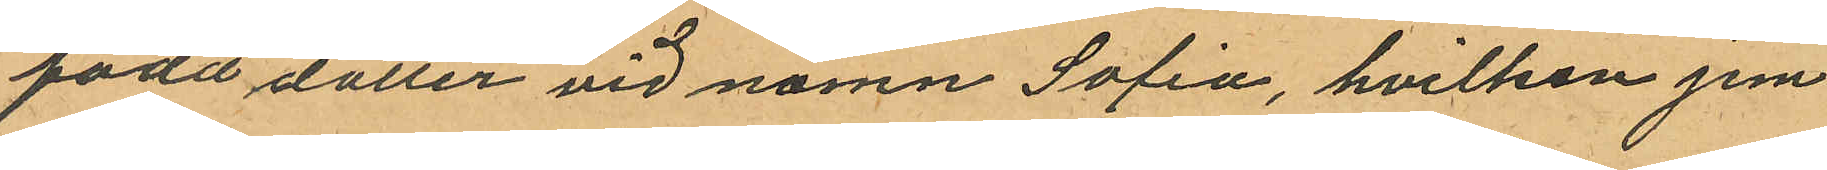född dotter vid namn Sofia, hvilken jem
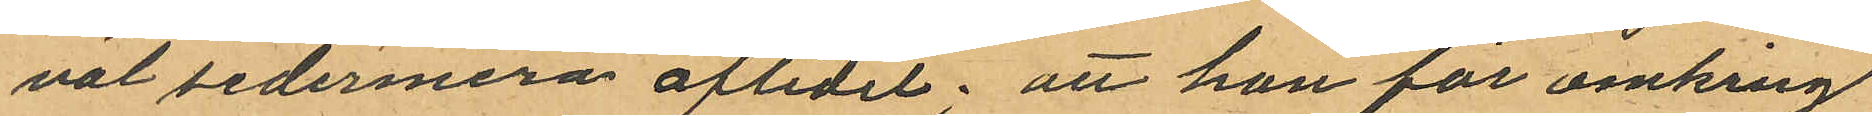väl sedermera aflidit; att han för omking
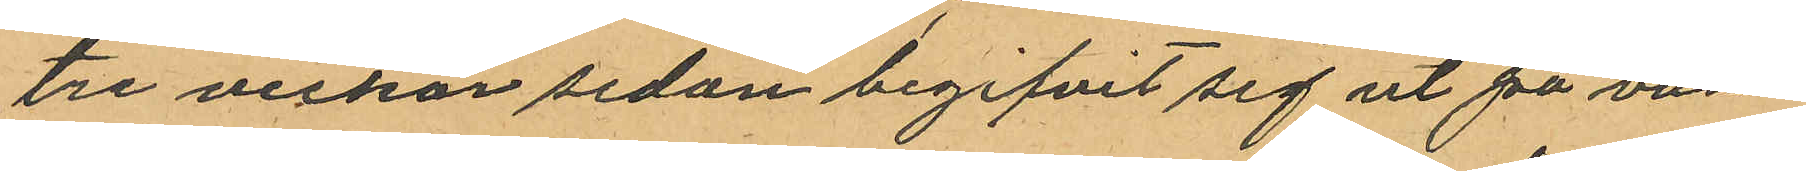tre veckor sedan begifvit sig ut på van¬
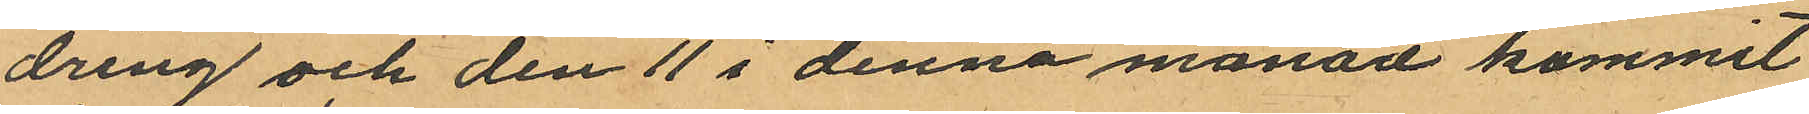dring och den 11 i denna månad kommit
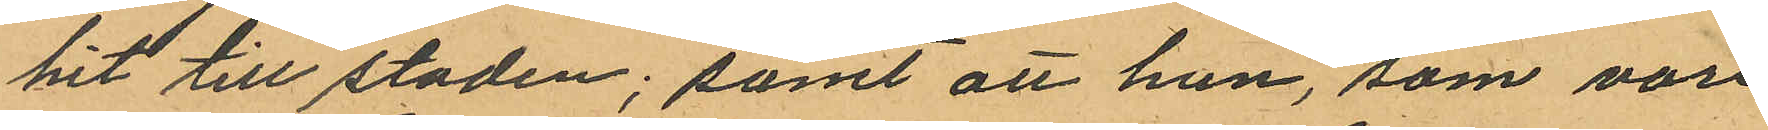hit till staden; samt att han, som vore
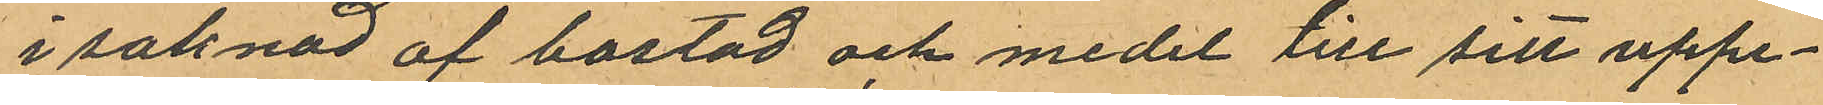i saknad af bostad och medel till sitt uppe¬
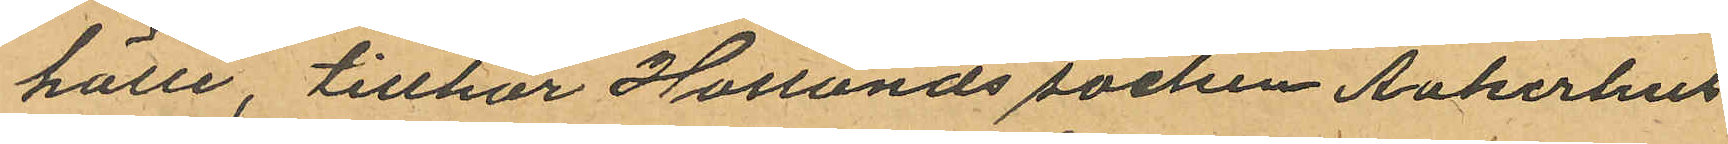hälle, tillhör Hållunds socken Aakerhus
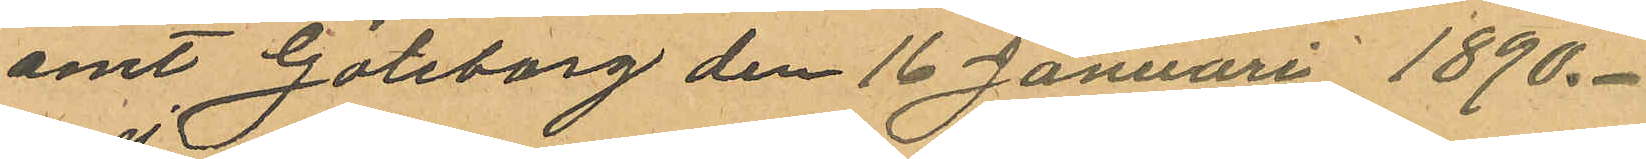amt Göteborg den 16 Januari 1890.
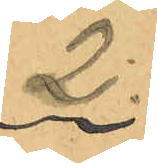2.
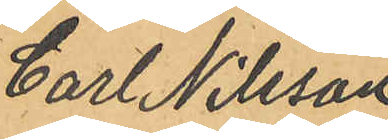Carl Nilsson
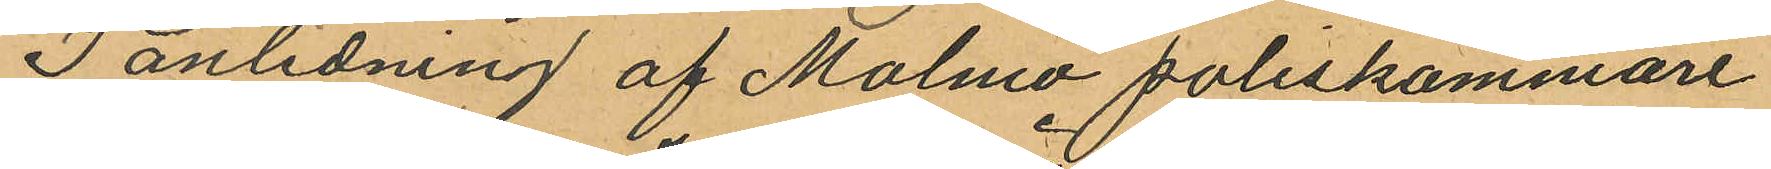I anledning af Malmö poliskammare
